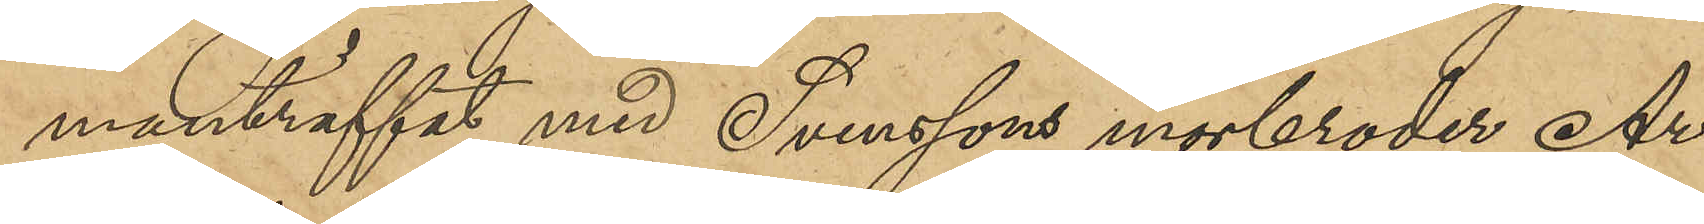manträffat med Svenssons morbroder Ar¬
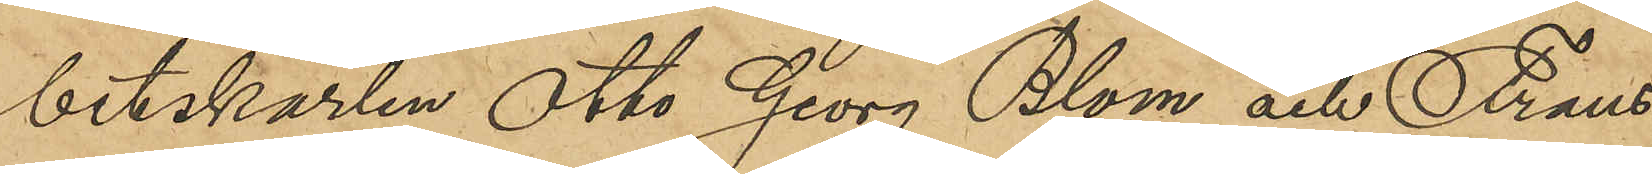betskarlen Otto Georg Blom och Frans
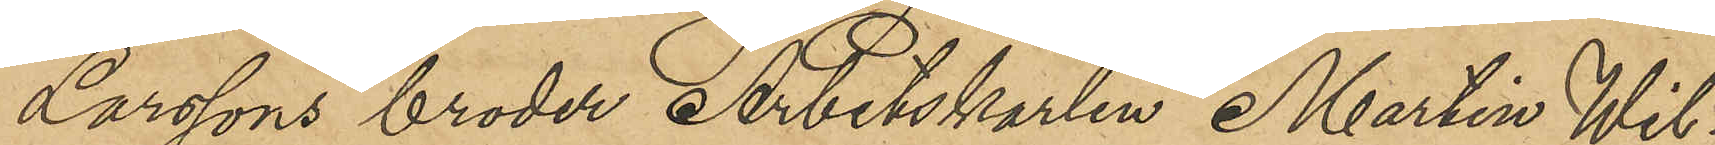Larssons broder Arbetskarlen Martin Wil¬
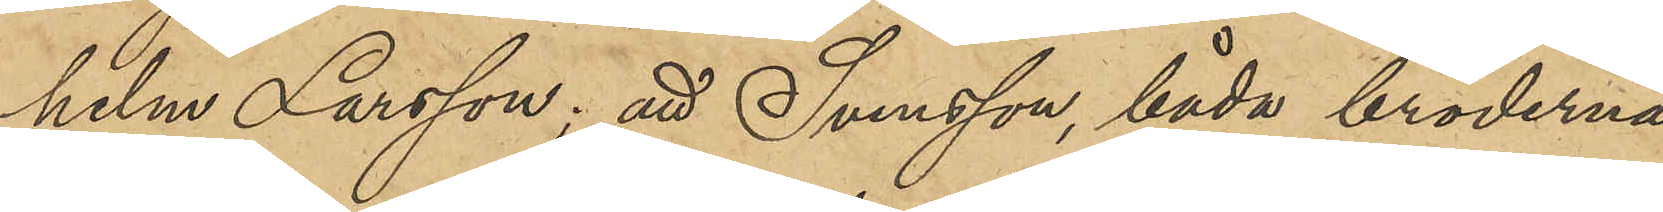helm Larsson; att Svensson, båda bröderna
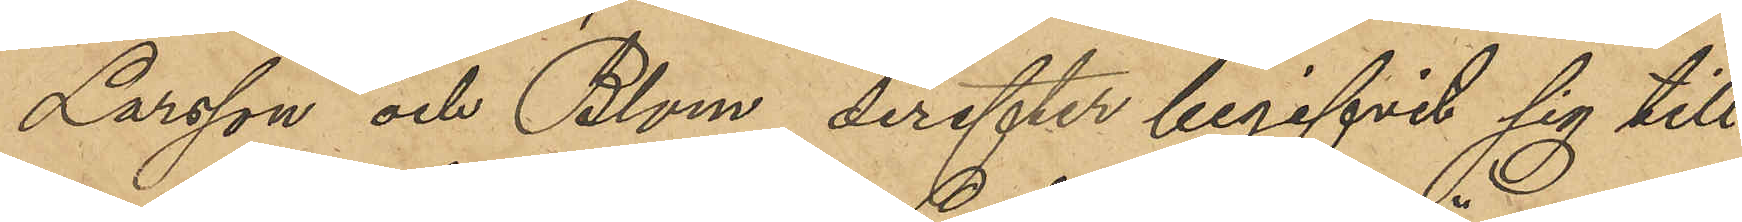Larsson och Blom derefter begifvit sig till
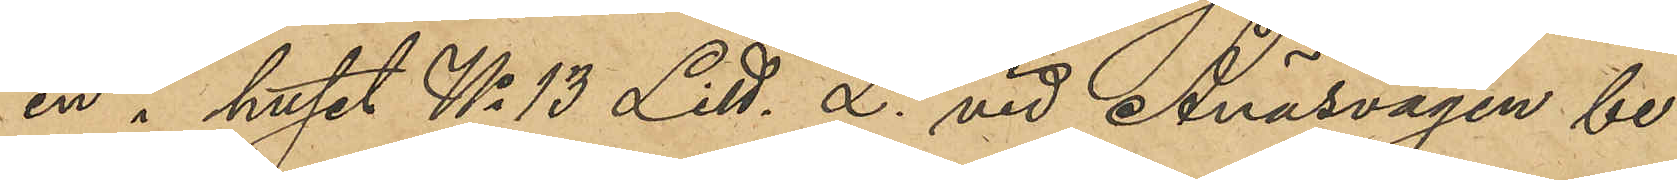en i huset No 13 Litt. L vid Ånäsvägen be¬
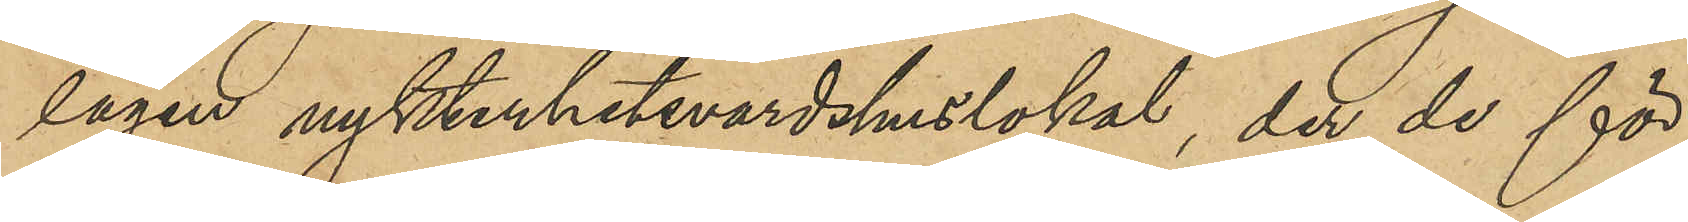lägen nykterhetsvärdshuslokal, der de för¬
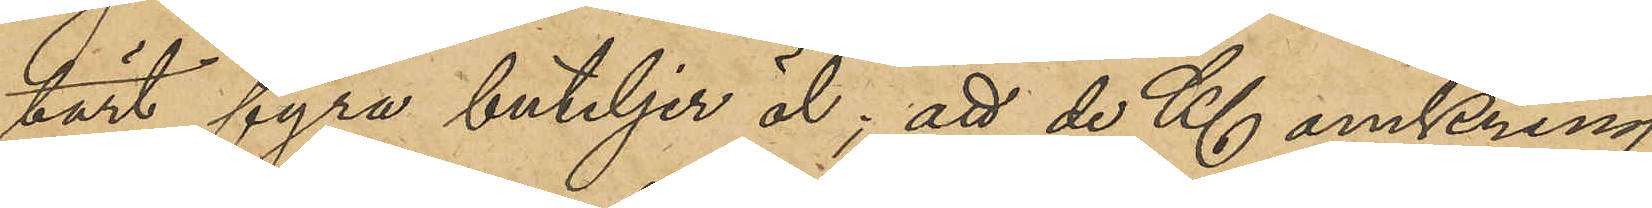tärt fyra buteljer öl; att de Kl omkring
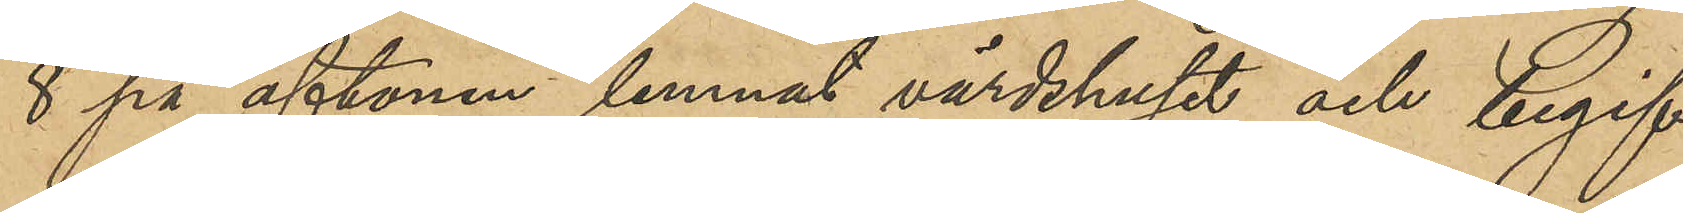8 på aftonen lemnat värdshuset och begif¬
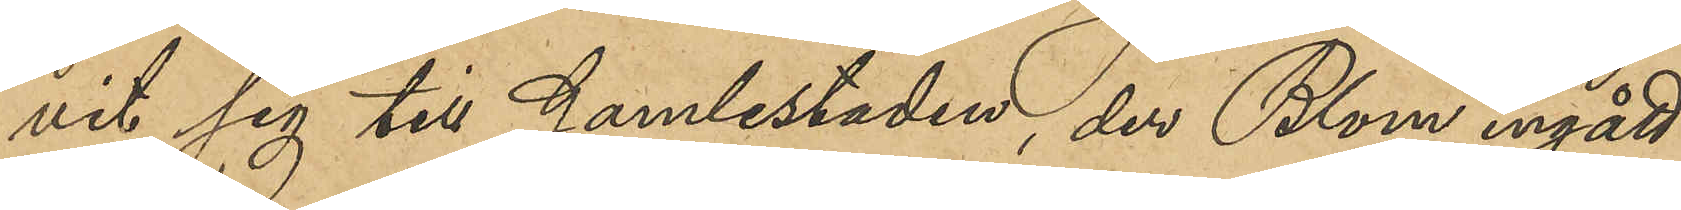vit sig till Gamlestaden, der Blom ingått
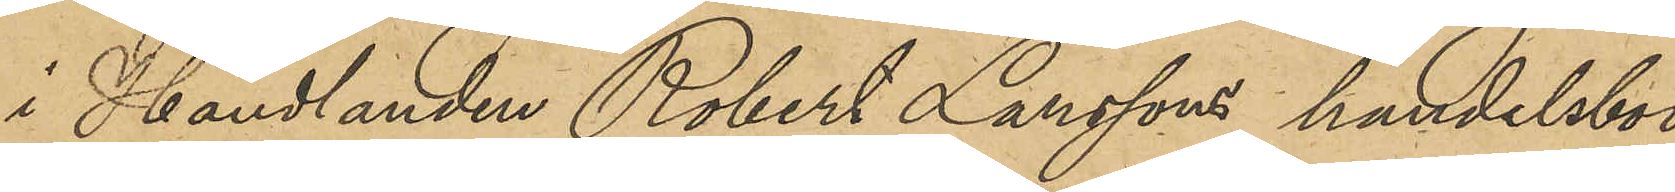i Handlanden Robert Larssons handelsbod
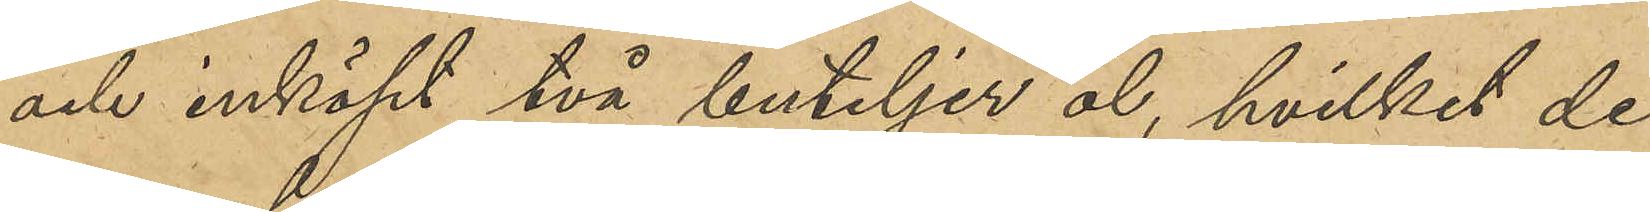och inköpt två buteljer öl, hvilket de
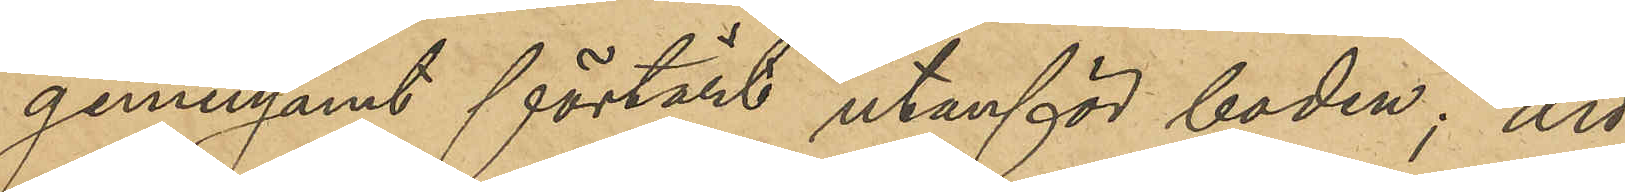gemensamt förtärt utanför boden; att
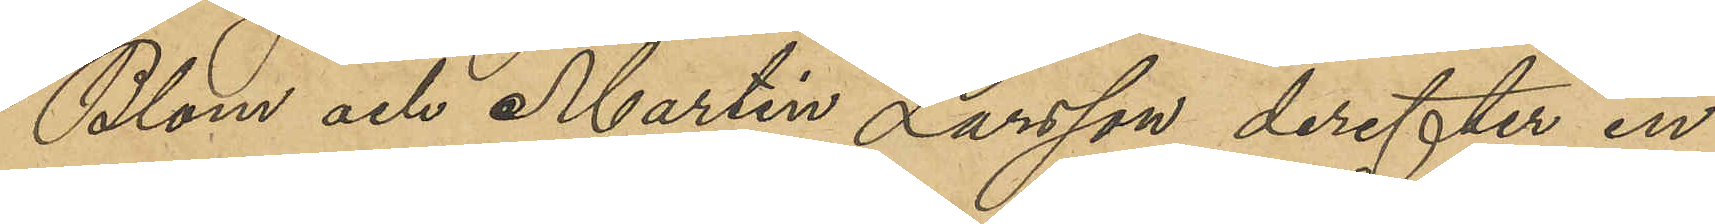Blom och Martin Larsson derefter in¬
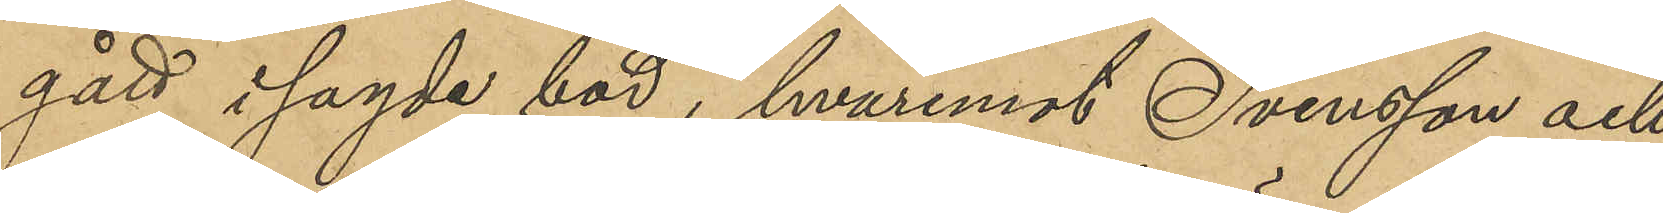gått i sagde bod, hvaremot Svensson och
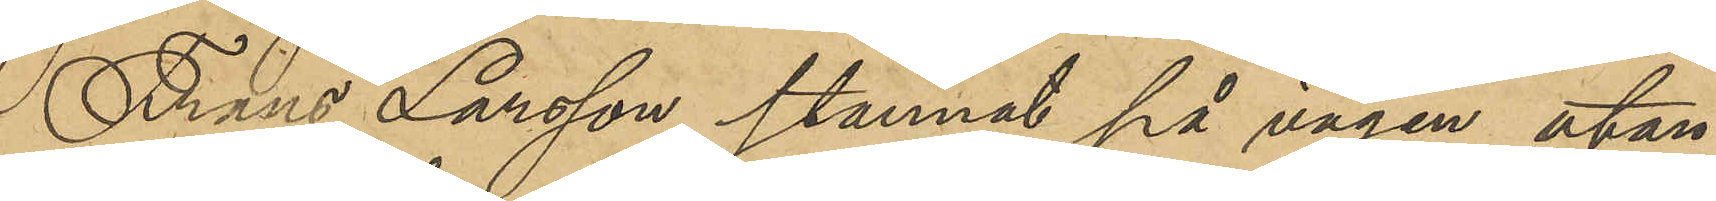Frans Larsson stannat på vägen utan¬
